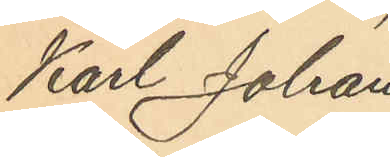Karl Johan
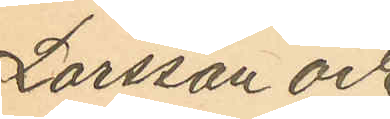Larsson och
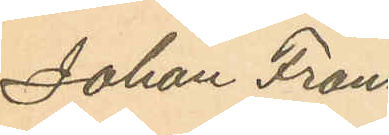Johan Frans
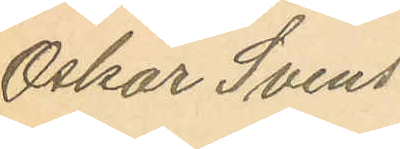Oskar Svens¬
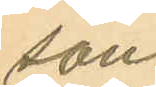son.
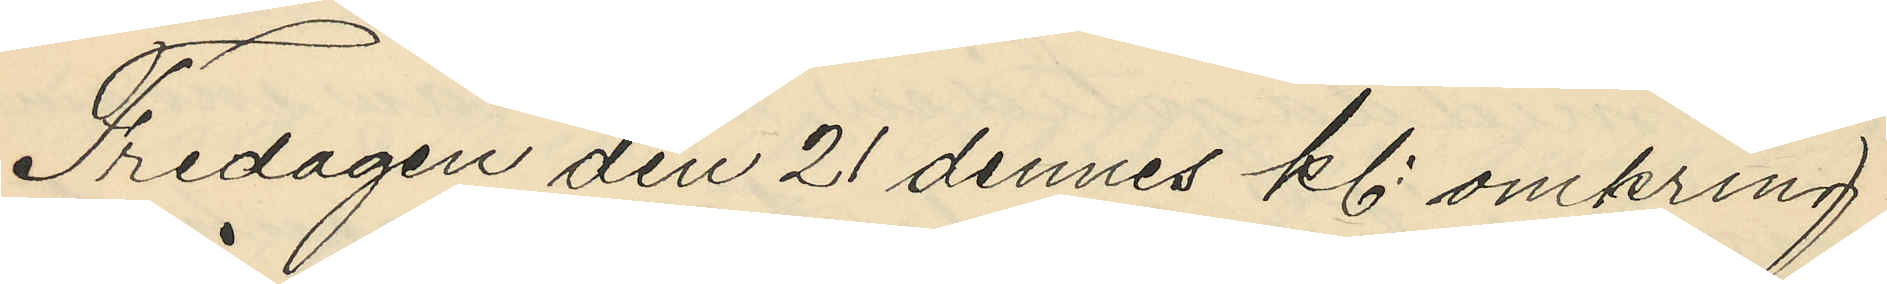Fredagen den 21 dennes kl. omkring
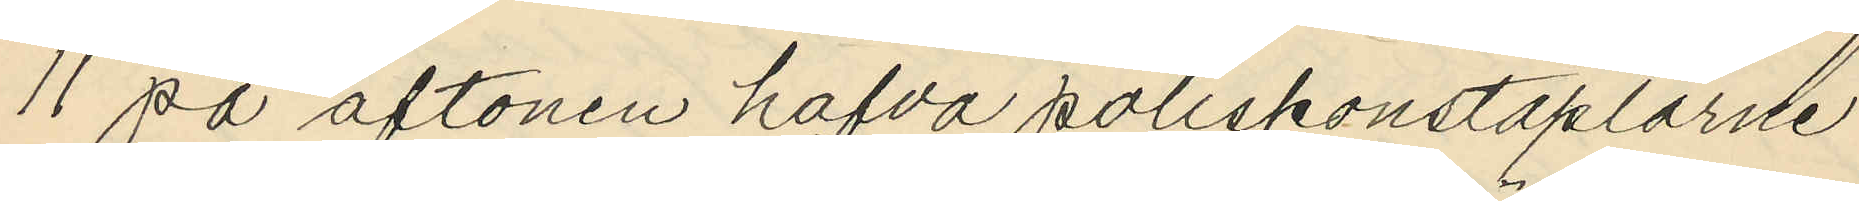11 på aftonen hafva poliskonstaplarne
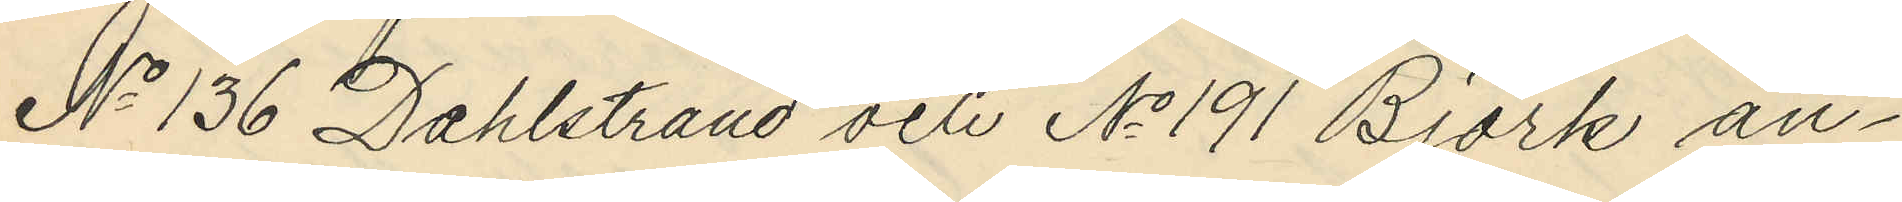No 136 Dahlstrand och No 191 Björk an¬
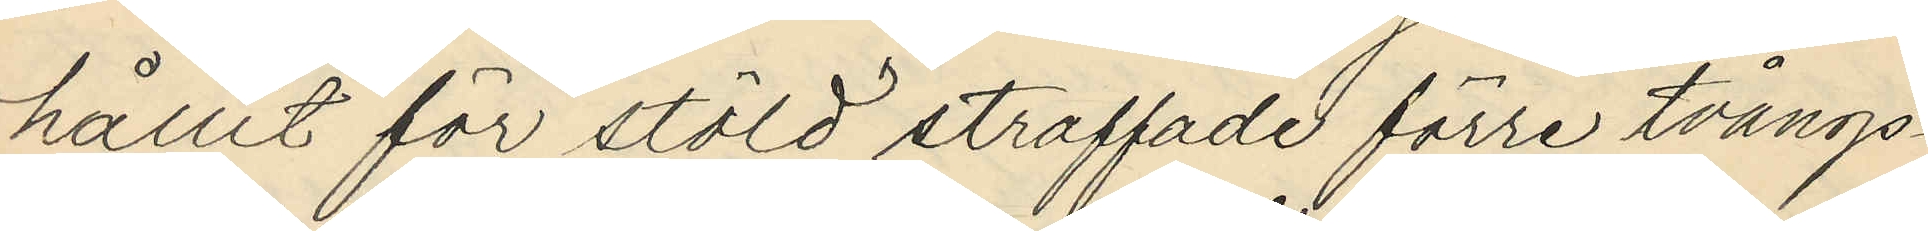hållit för stöld straffade förre tvångs¬
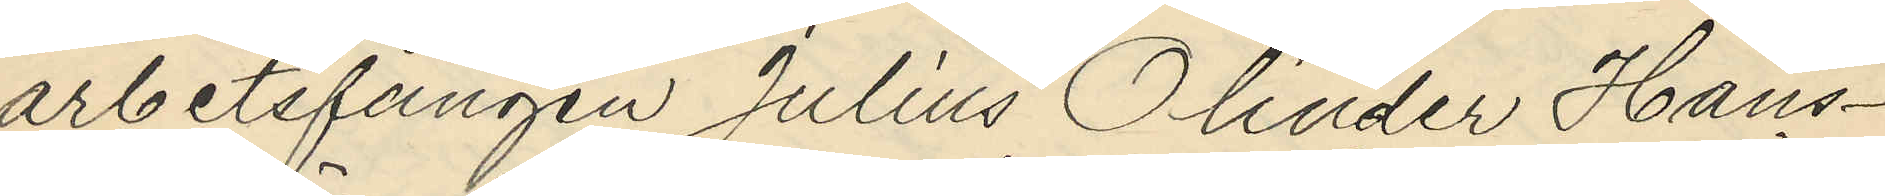arbetsfången Julius Olinder Hans¬
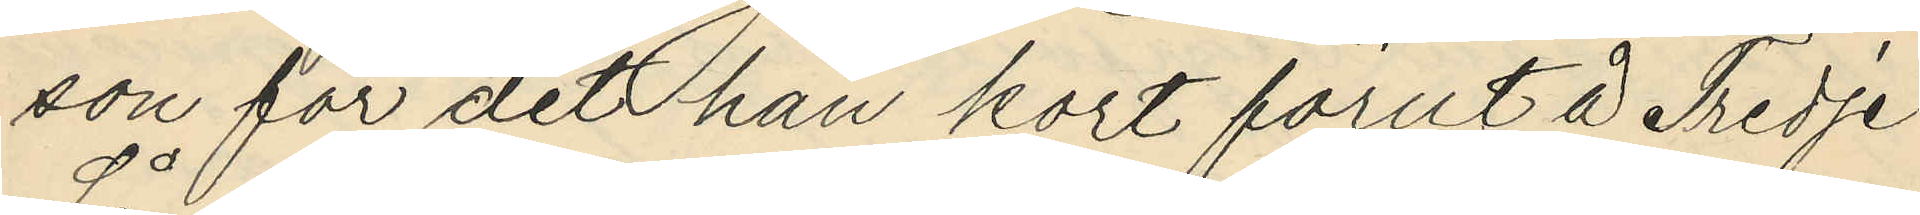son för det han kort förut å Tredje
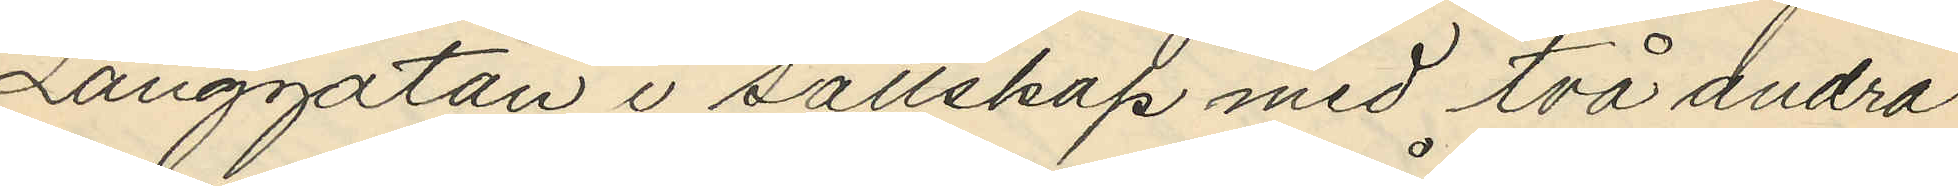Långgatan i sällskap med två andra
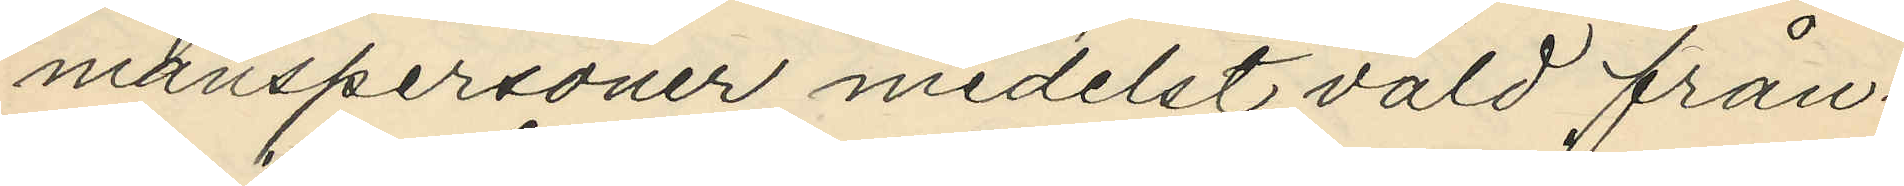manspersoner medelst våld från¬
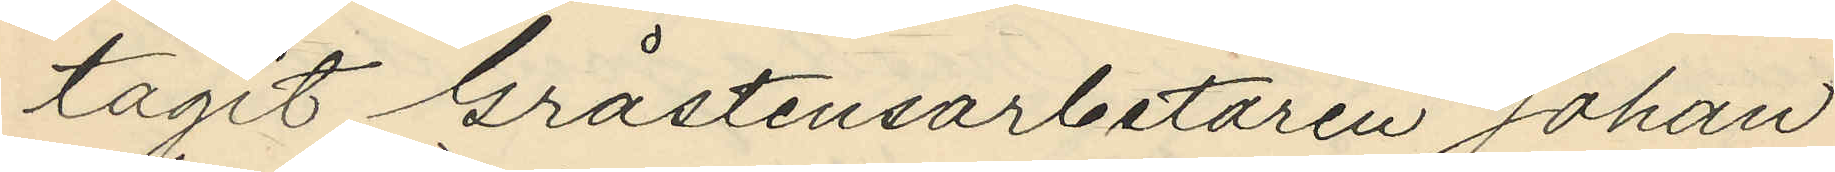tagit Gråstensarbetaren Johan
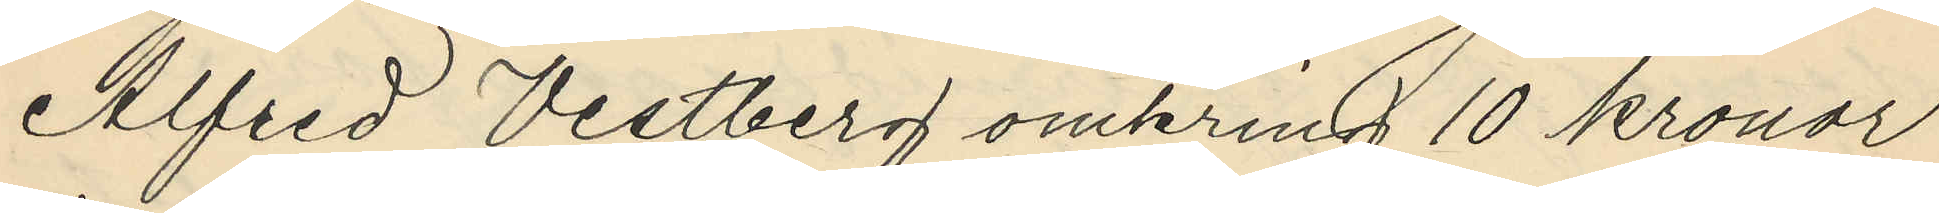Alfred Vestberg omkring 10 kronor
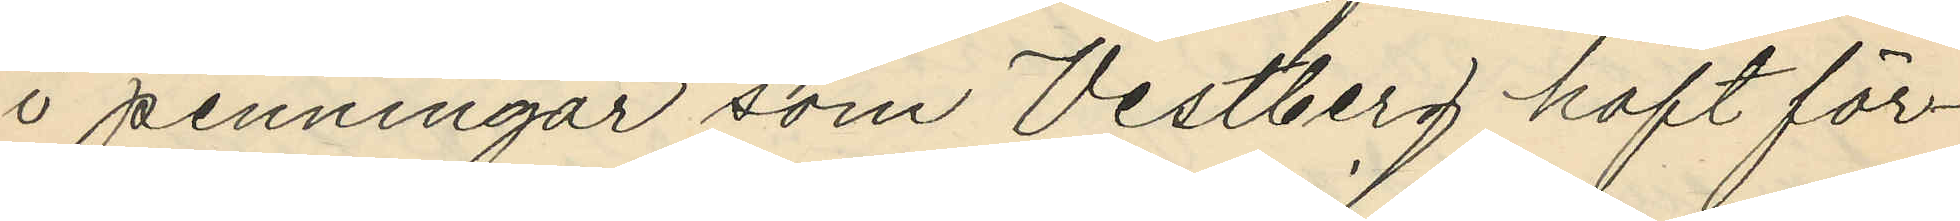i penningar som Vestberg haft för¬
